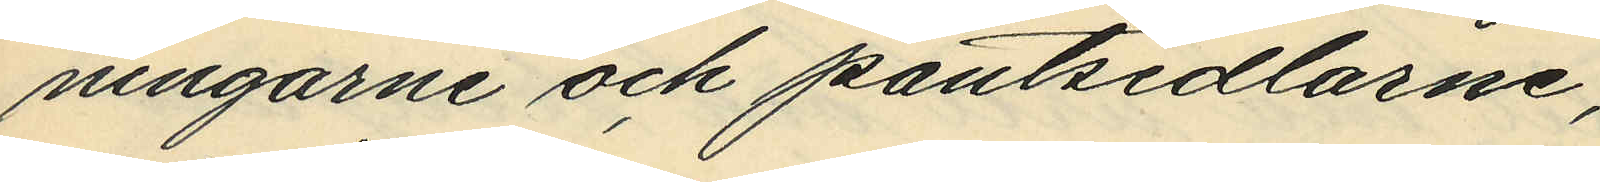ningarne och pantsedlarne;
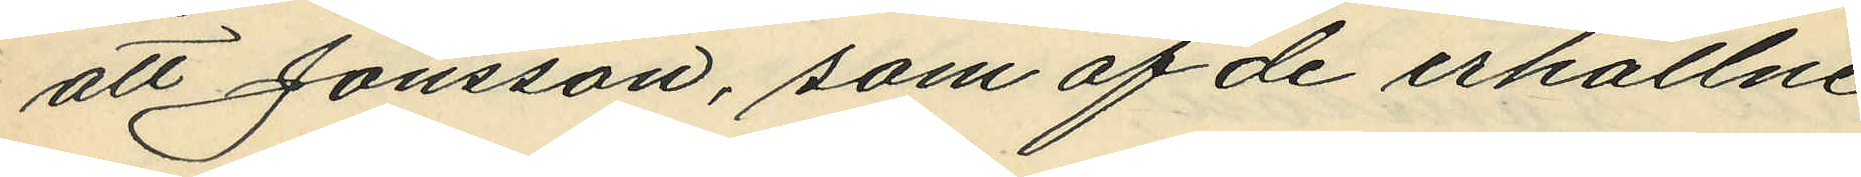att Jönsson, som af de erhållne
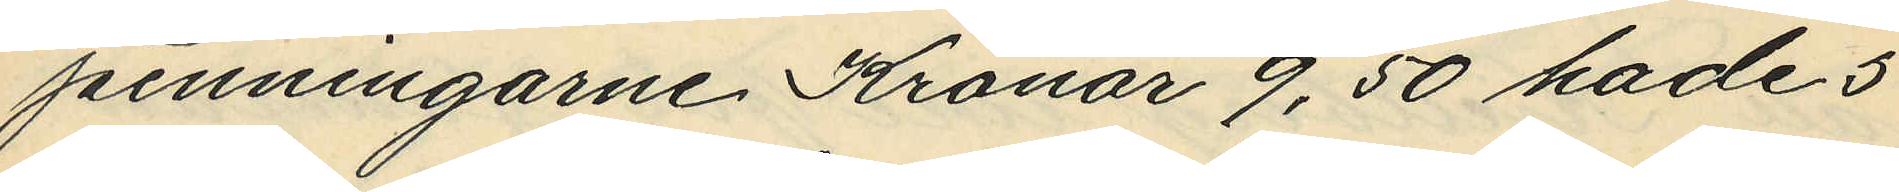penningarne Kronor 9,50 hade 5
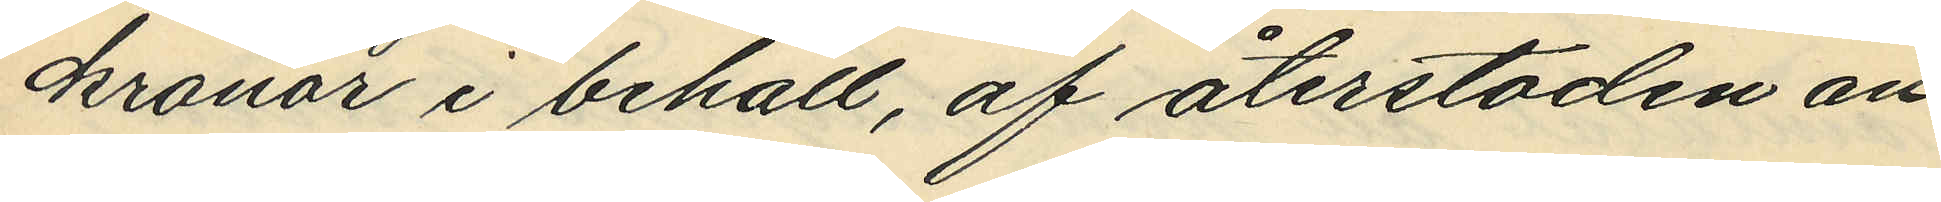kronor i behåll, af återstoden an¬
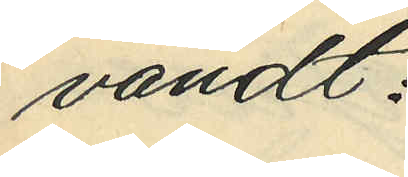vändt:
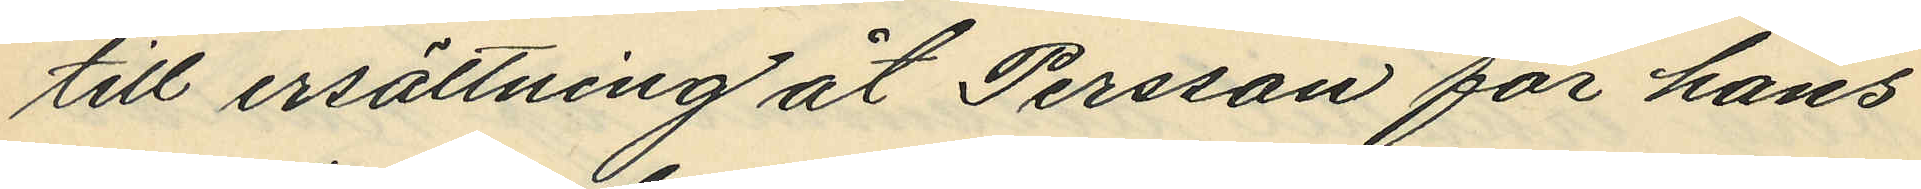till ersättning åt Perssan för hans
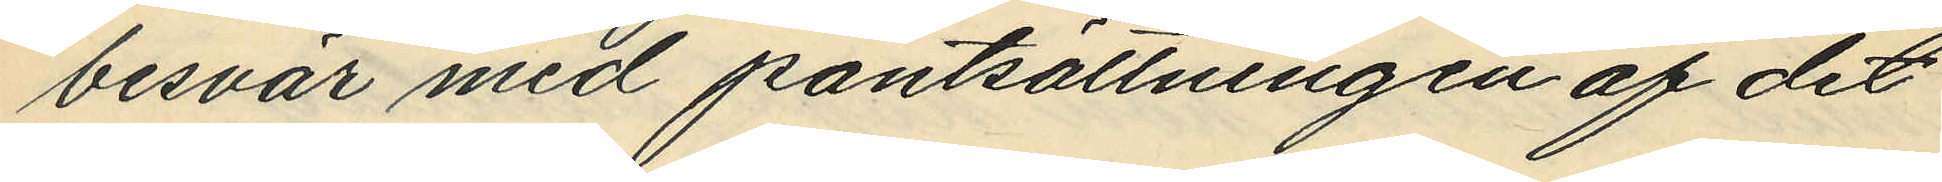besvär med pantsättningen af det
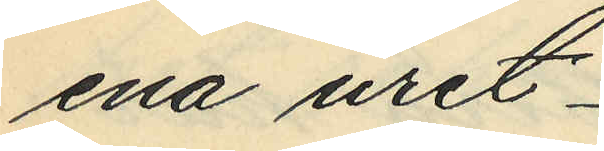ena uret
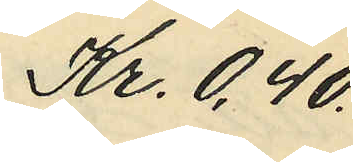Kr. 0,40.
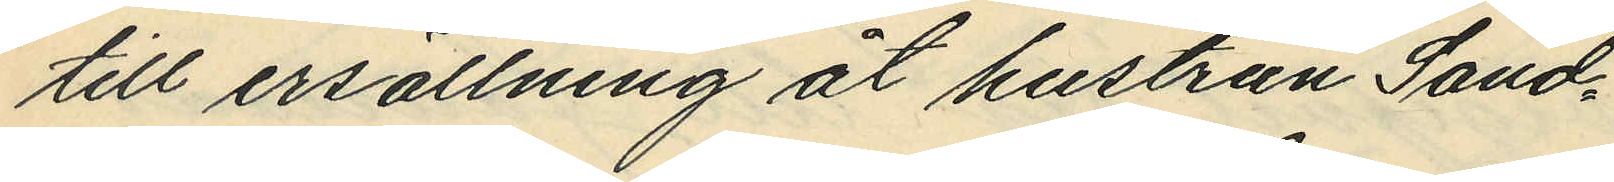till ersällning åt hustrun Sand¬
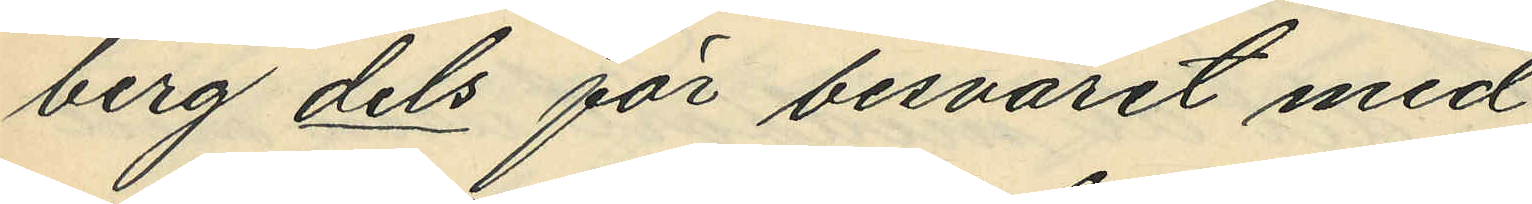berg dels för besväret med
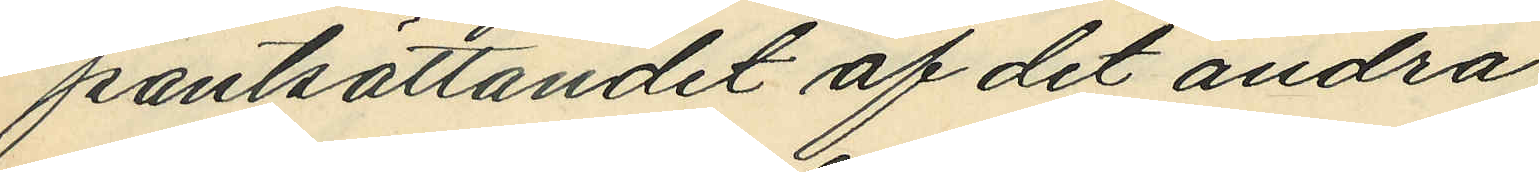pantsättandet af det andra
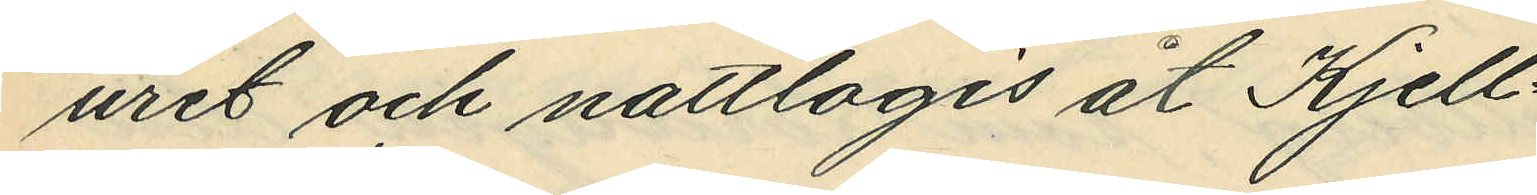uret och nattlogis åt Kjell¬
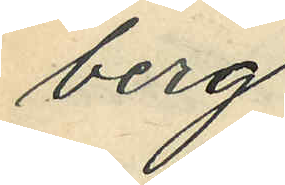berg
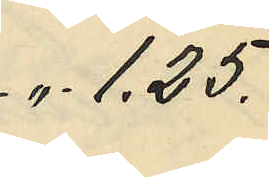". 1,25.
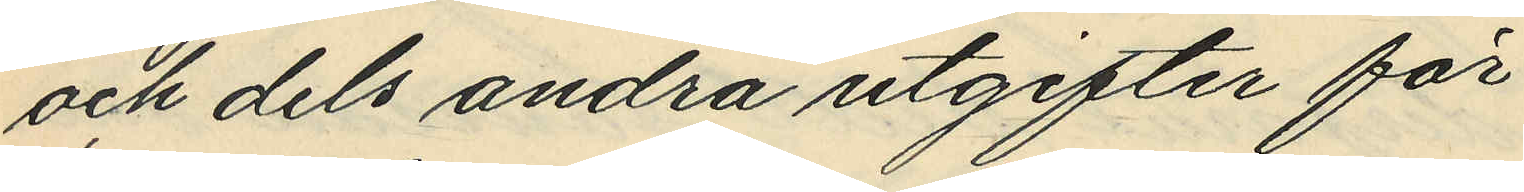och dels andra utgifter för
